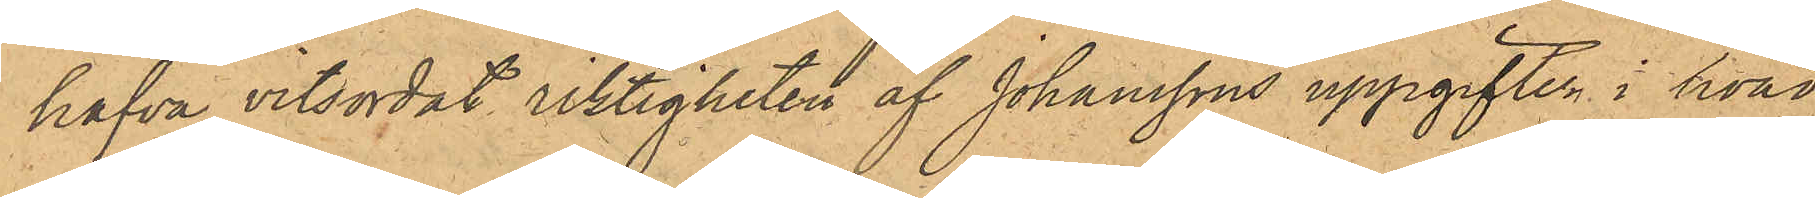hafva vitsordat riktigheten af Johanssons uppgifter i hvad
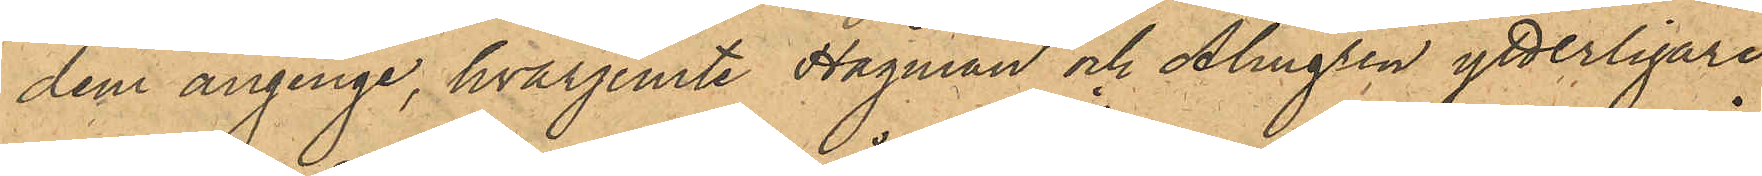dem anginge, hvarjemte Hagman och Almgren ytterligare
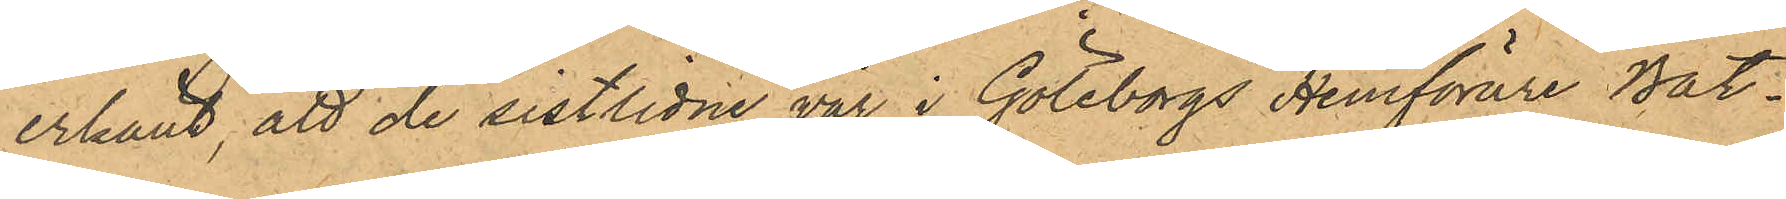erkänt, att de sistlidne vår i Göteborgs Hemförare Båt¬
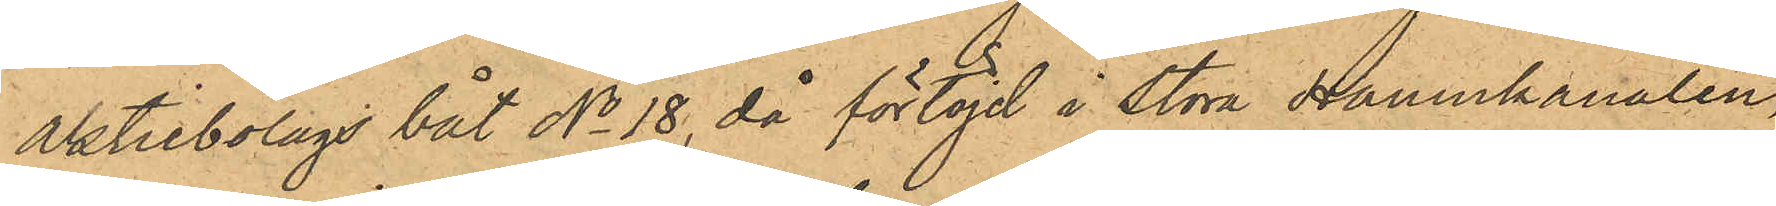aktiebolags båt No 18, då förtöjd i Stora Hamnkanalen,
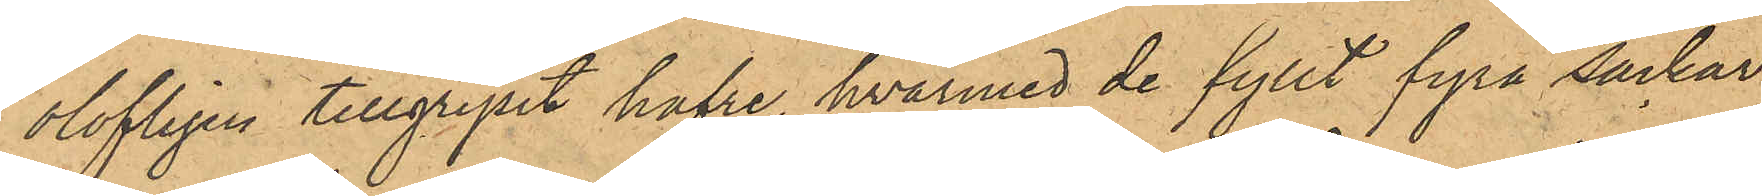olofligen tillgripit hafre, hvarmed de fyllt fyra säckar,
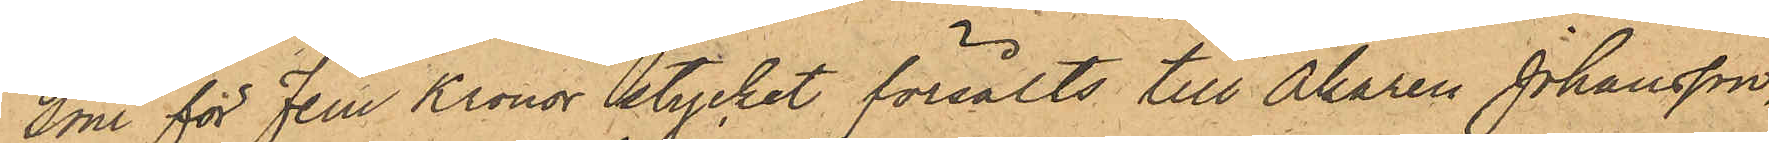som för Fem Kronor stycket försålts till Åkaren Johansson,
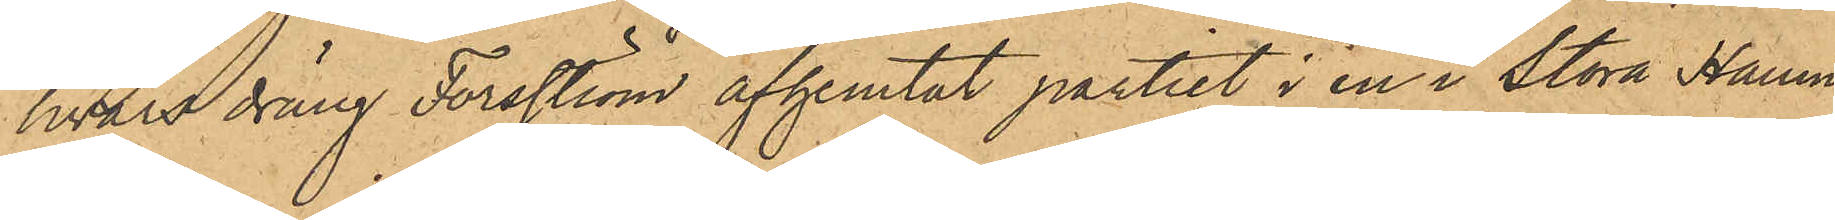hvars dräng Forsström afhemtat partiet i en i Stora Hamn¬
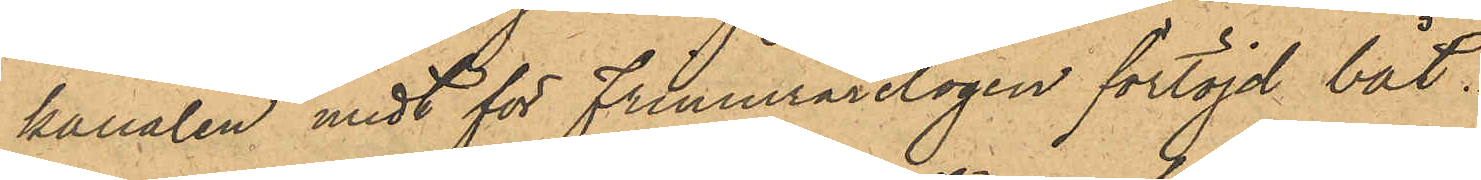kanalen midt för Frimurarelogen förtöjd båt.
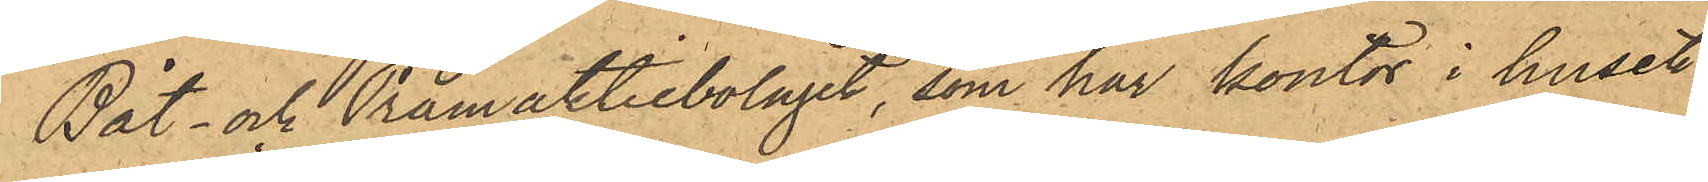Båt- och Pråmaktiebolaget, som har kontor i huset
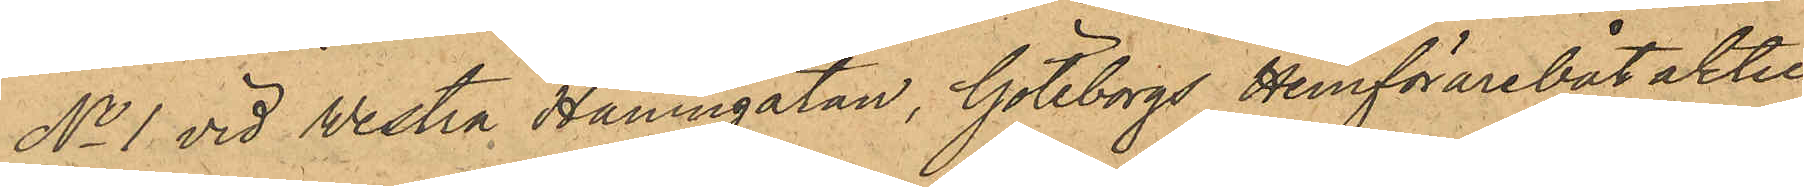No 1 vid Westra Hamngatan, Göteborgs Hemförarebåt aktie¬
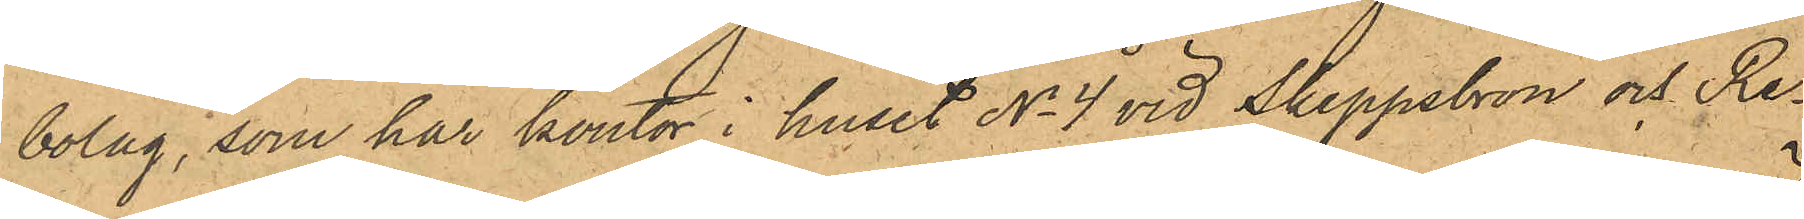bolag, som har kontor i huset No 4 vid Skeppsbron och Re¬
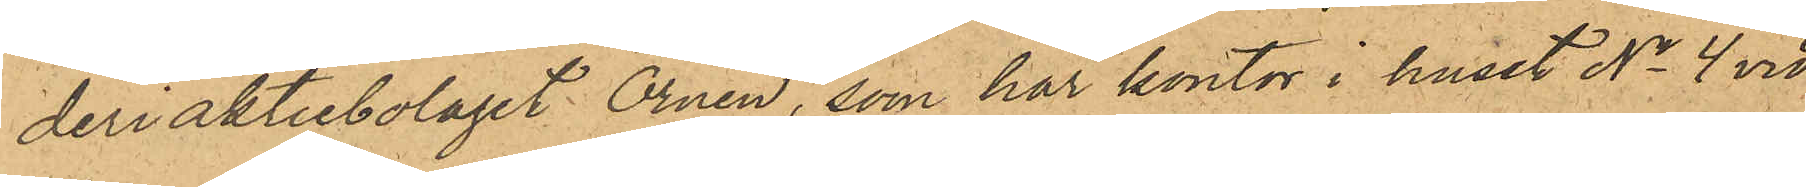deriaktiebolaget Örnen, som har kontor i huset No 4 vid
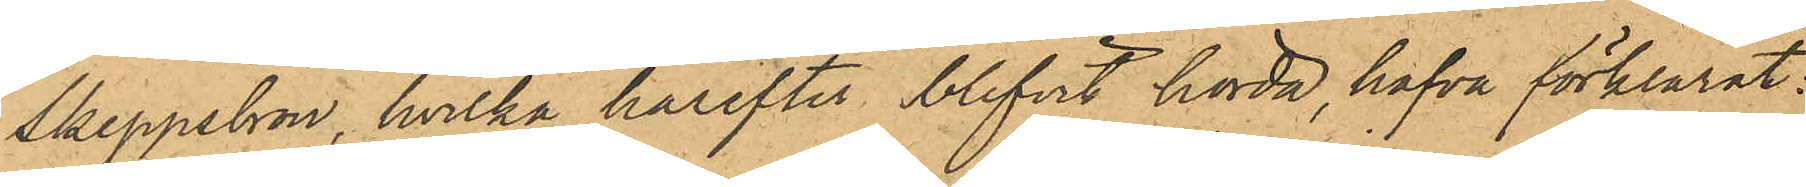Skeppsbron, hvilka härefter blifvit hörda, hafva förklarat:
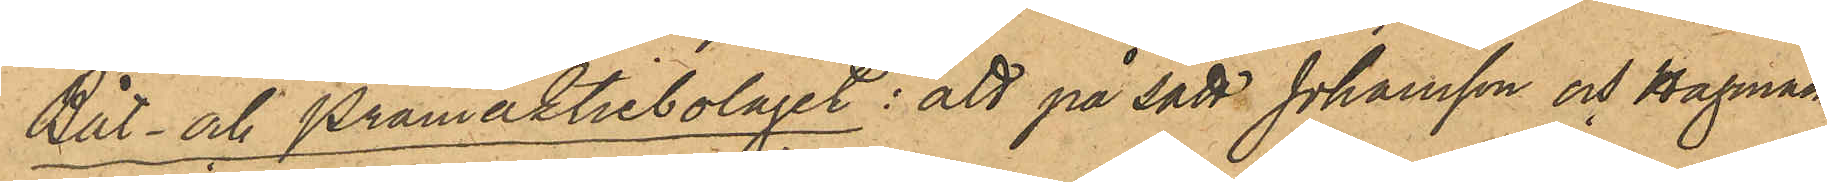Båt- och Pråmaktiebolaget: att på sätt Johansson och Hagman
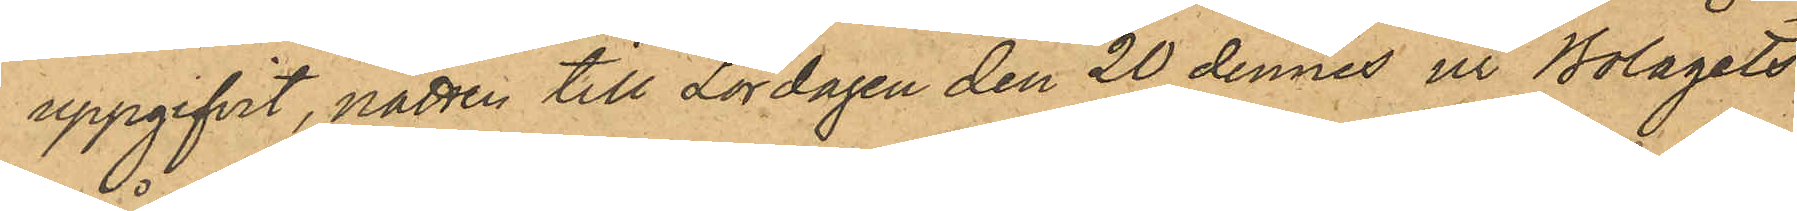uppgifvit, natten till Lördagen den 20 dennes ur Bolagets
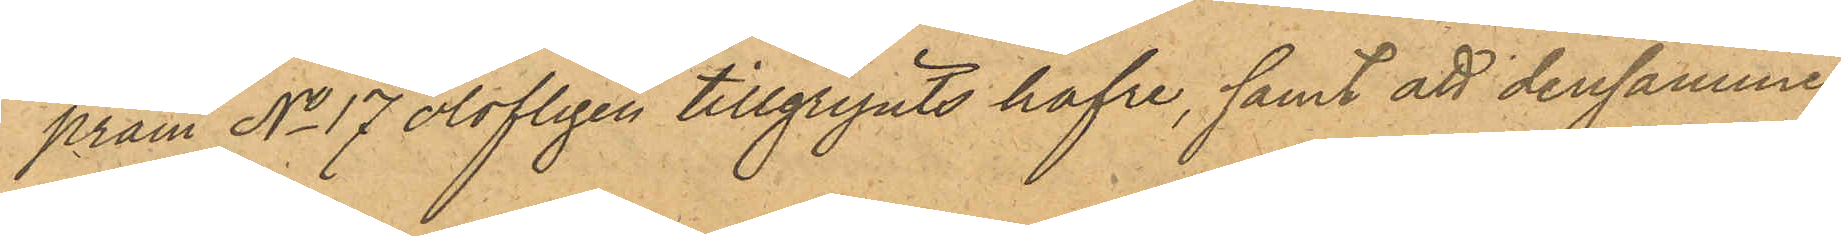pråm No 17 olofligen tillgripits hafre, samt att densamma,
